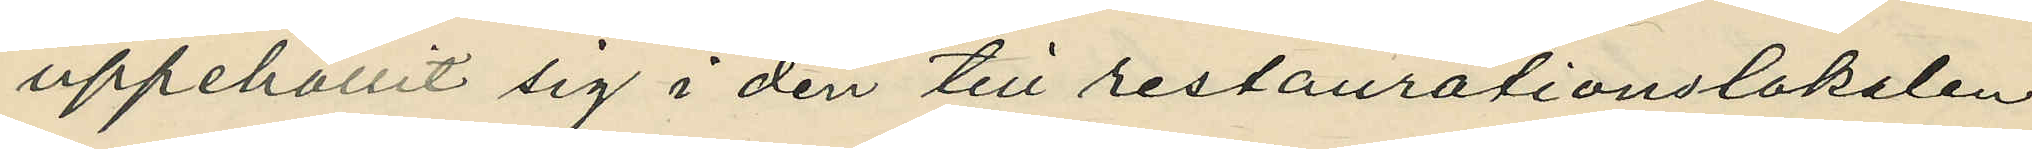uppehållit sig i den till restaurationslokalen
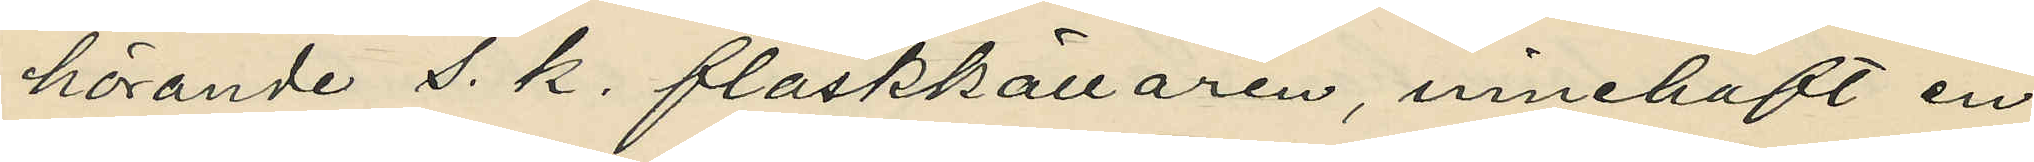hörande s. k. flaskkällaren, innehaft en
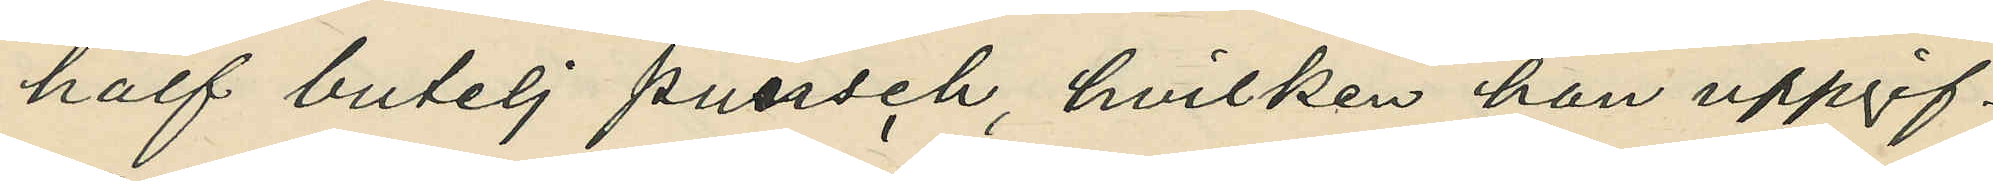half butelj punsch, hvilken han uppgif¬
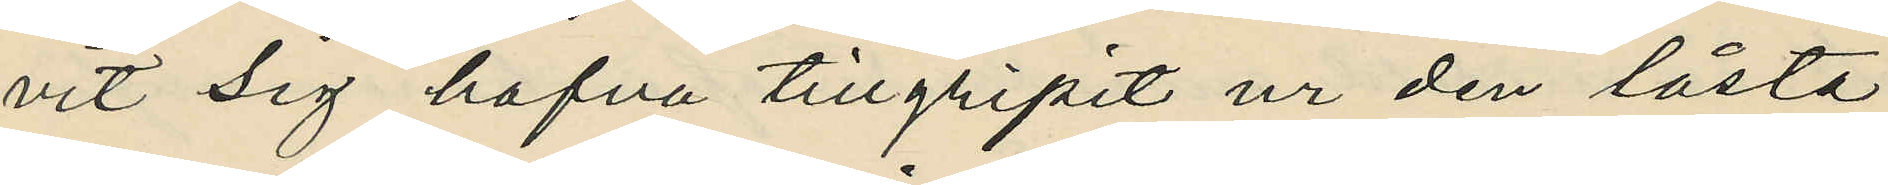vit sig hafva tillgripit ur den låsta
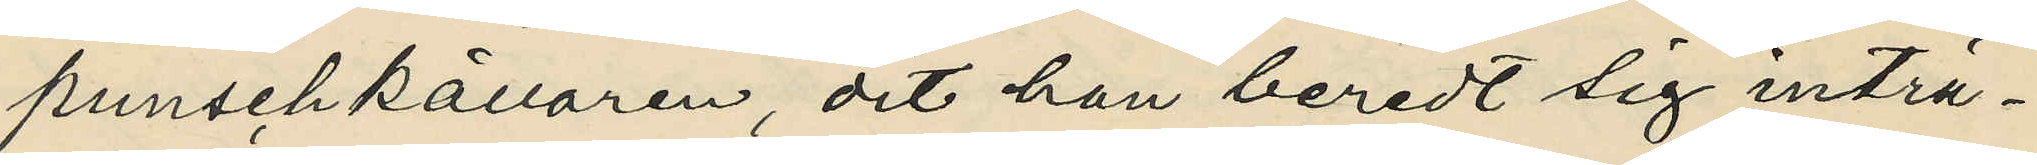punschkällaren, dit han beredt sig inträ¬
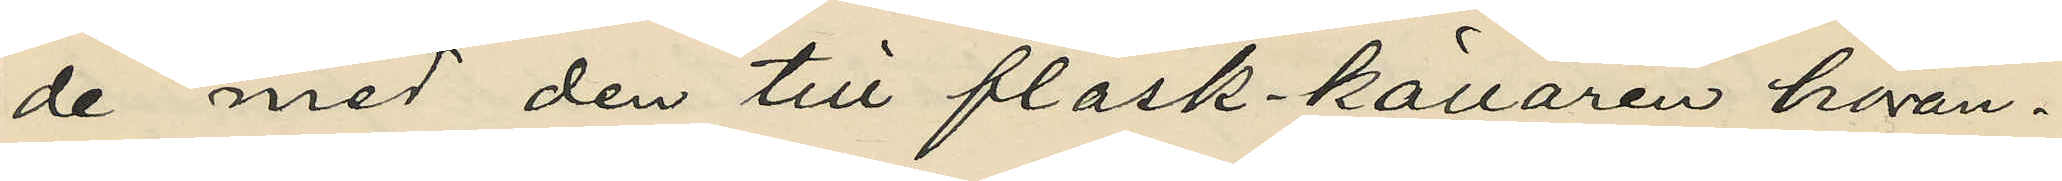de med den till flask-källaren höran¬
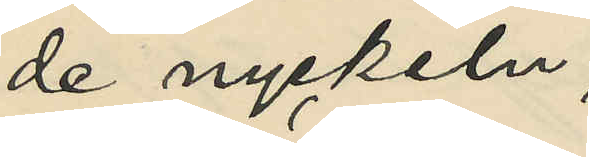de nyckeln;
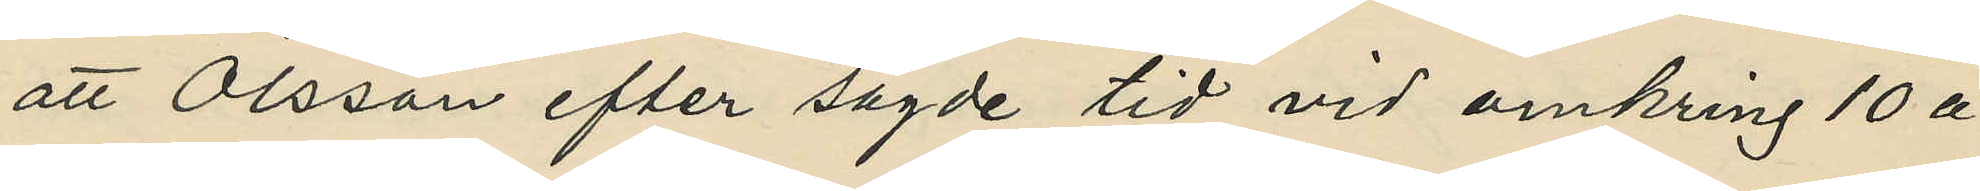att Olsson efter sagde tid vid omkring 10 à
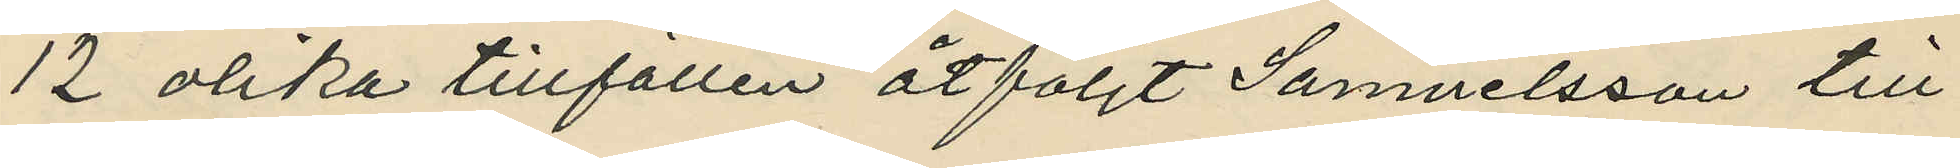12 olika tillfällen åtföljt Samuelsson till
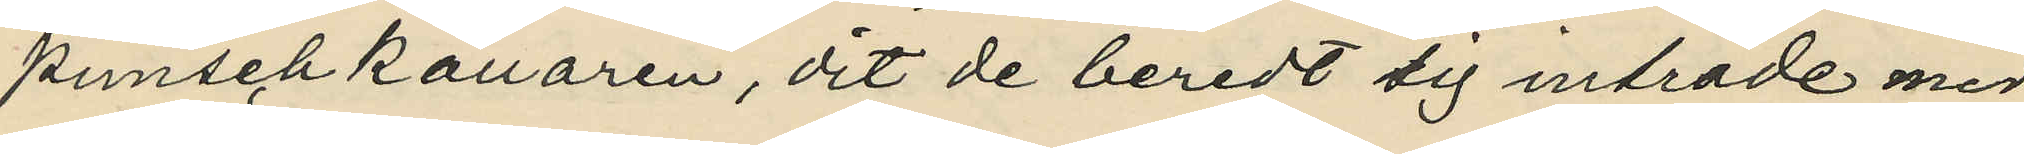punschkällaren, dit de beredt sig inträde med
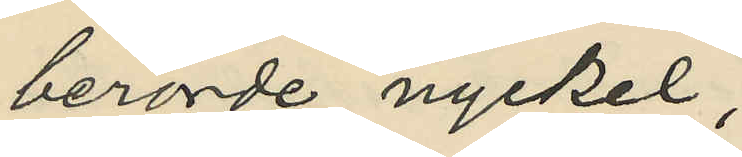berörde nyckel;
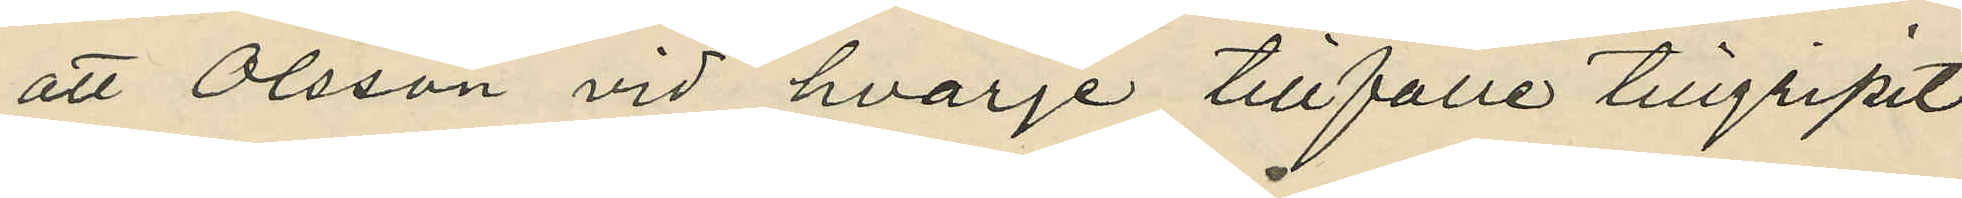att Olsson vid hvarje tillfälle tillgripit
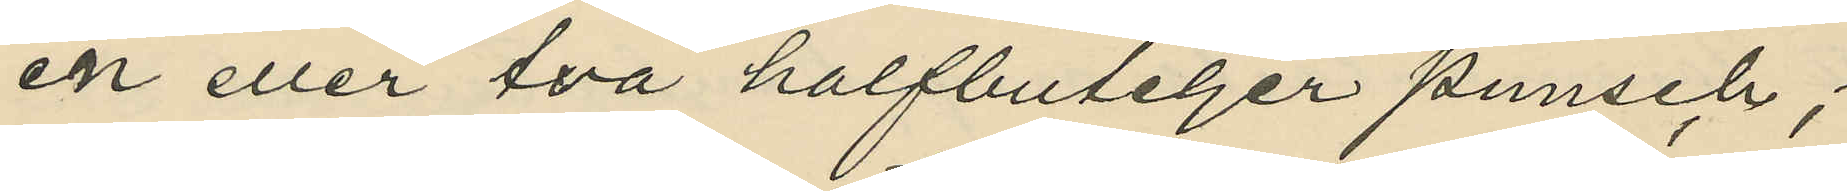en eller två halfbuteljer punsch;
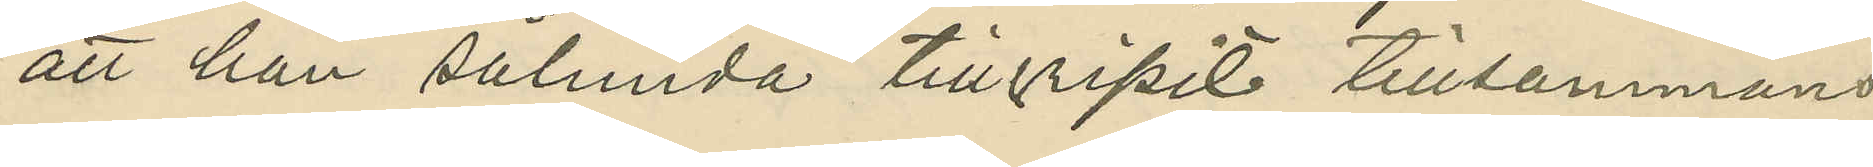att han sålunda tillgripit tillsammans
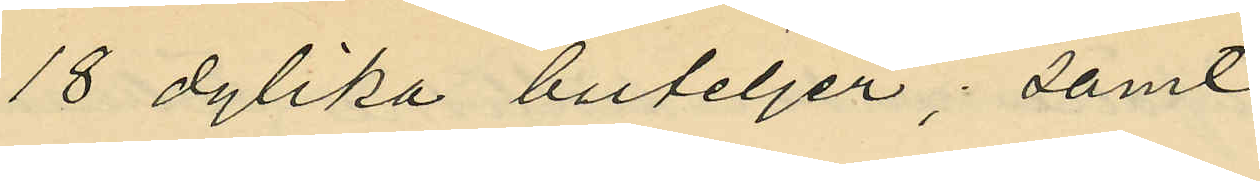18 dylika buteljer; samt
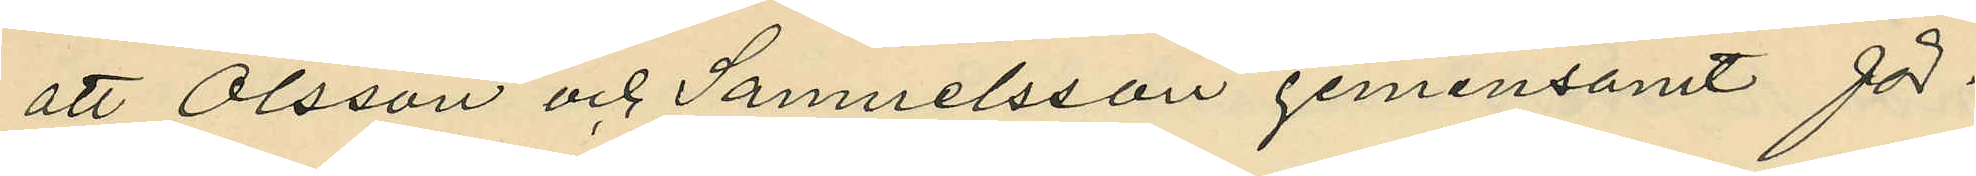att Olsson och Samuelsson gemensamt för¬
